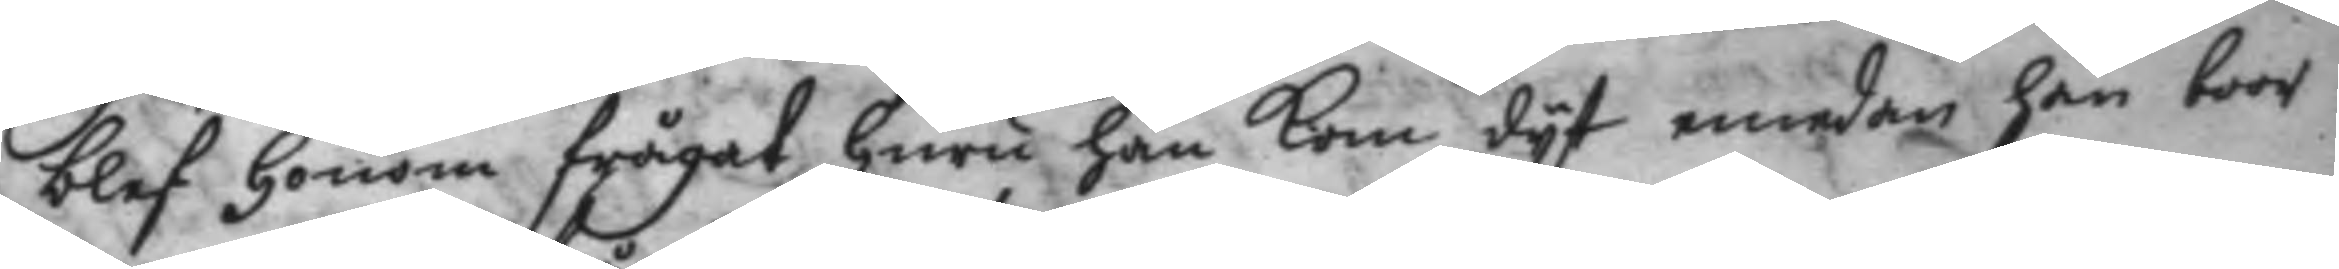blef honom frågat huru han kom dyt emedan han boor
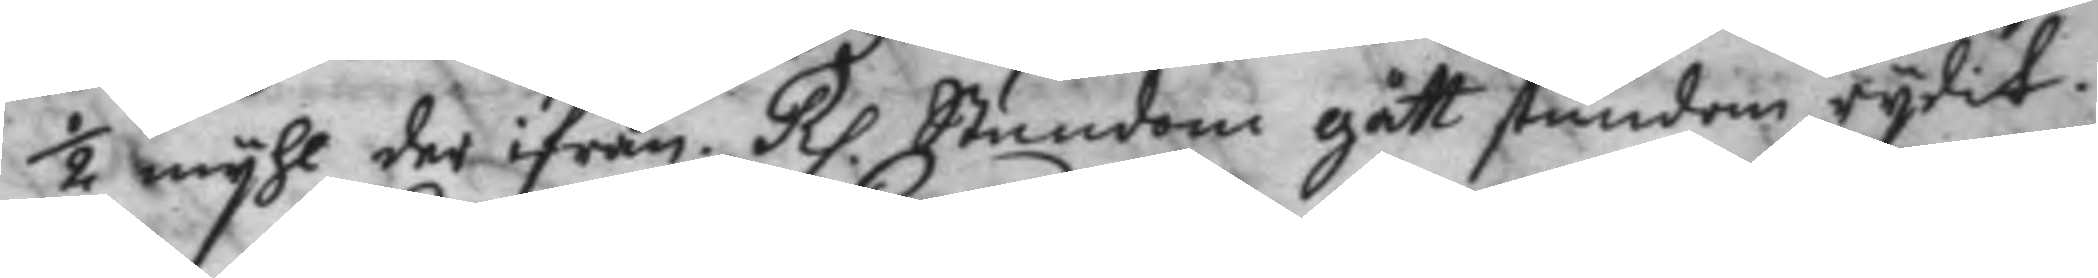½ myhl der ifrån. Rp. Stundom gått stundom rydit.
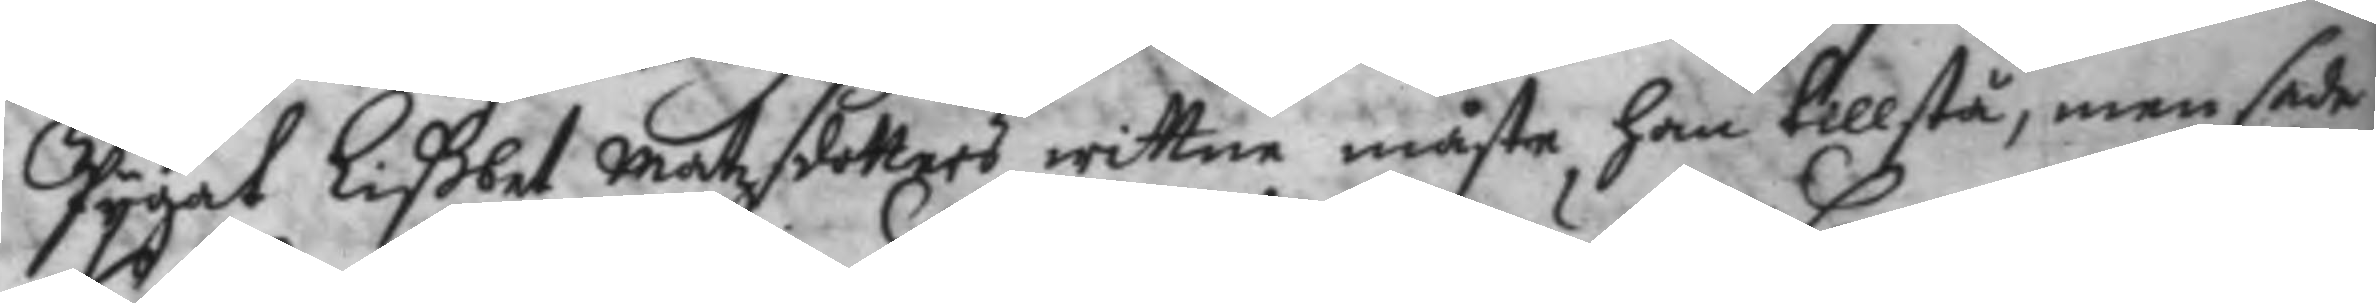Pygat Lißbet Matzdotters wittne måste han tillstå, men sade
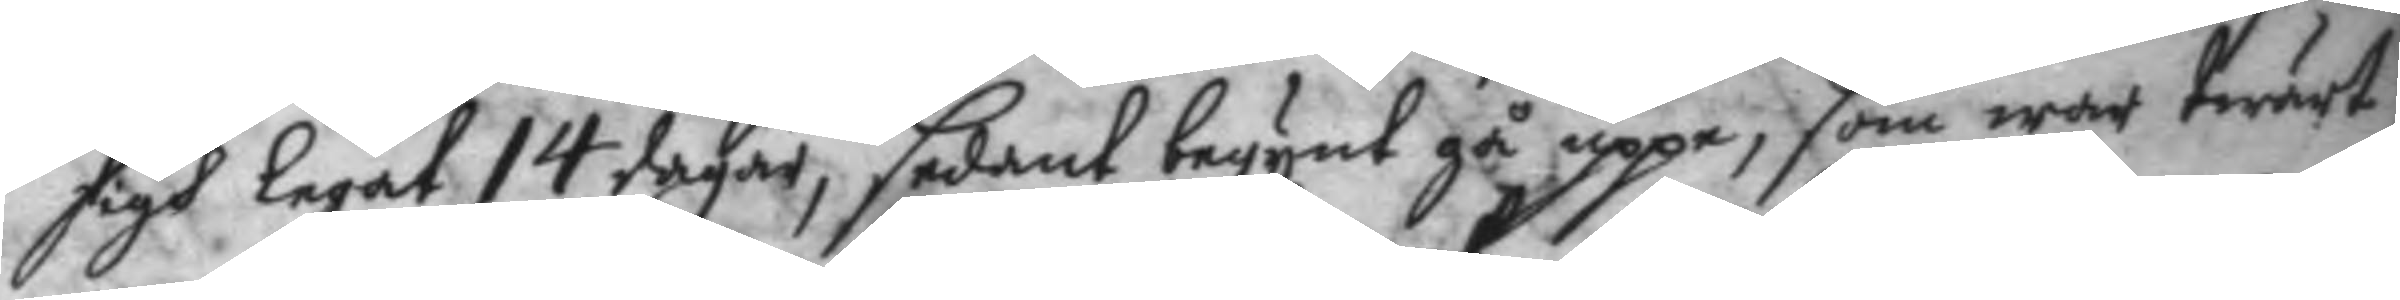sigh legat 14 dagar, sedant begynt gå uppe, som wore twärt
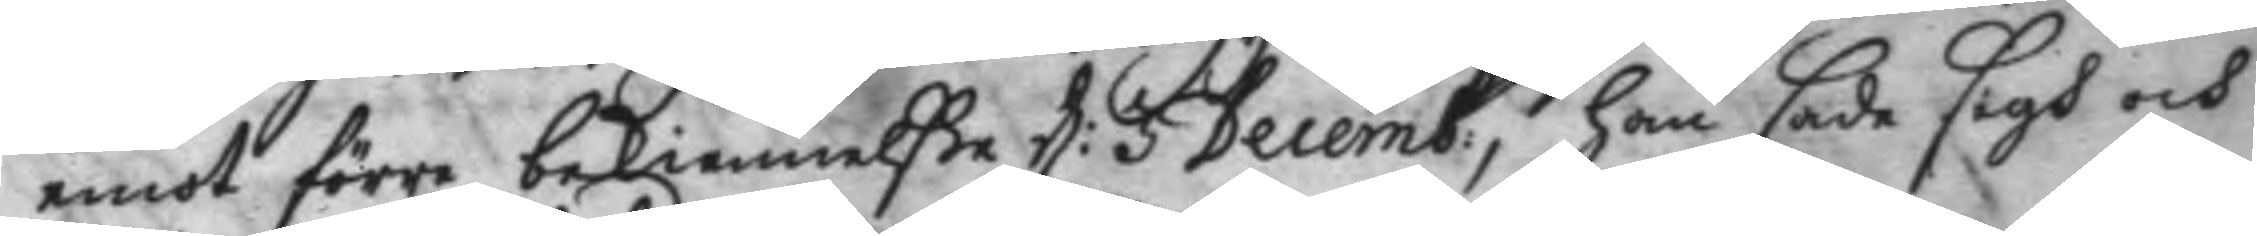emot förre bekiennelße d: 5 Decemb:, han sade sigh och
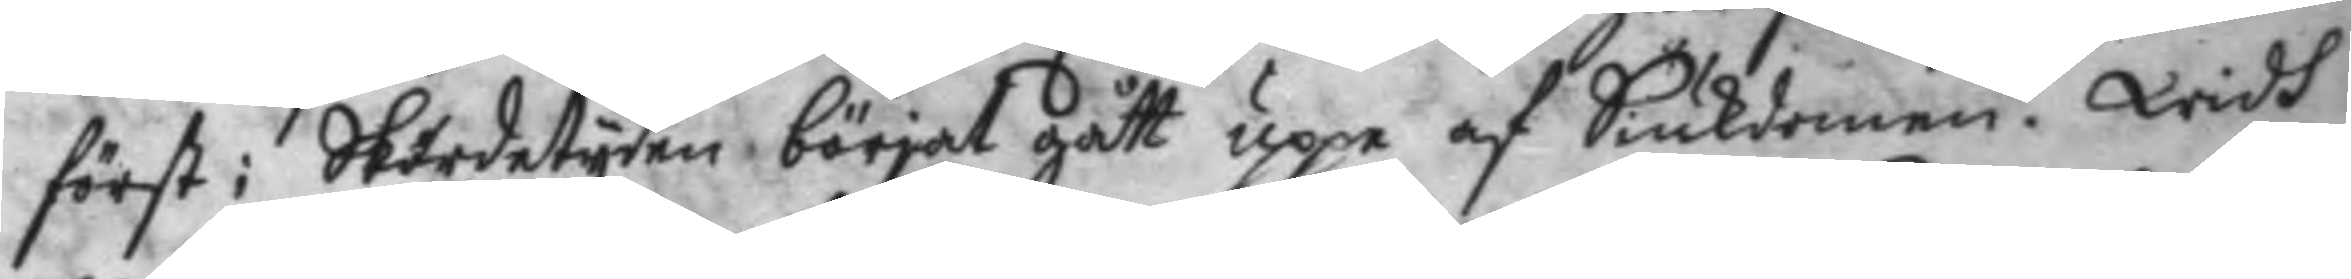först i Skördetyden börjat gått uppe af Siukdomen. Widh
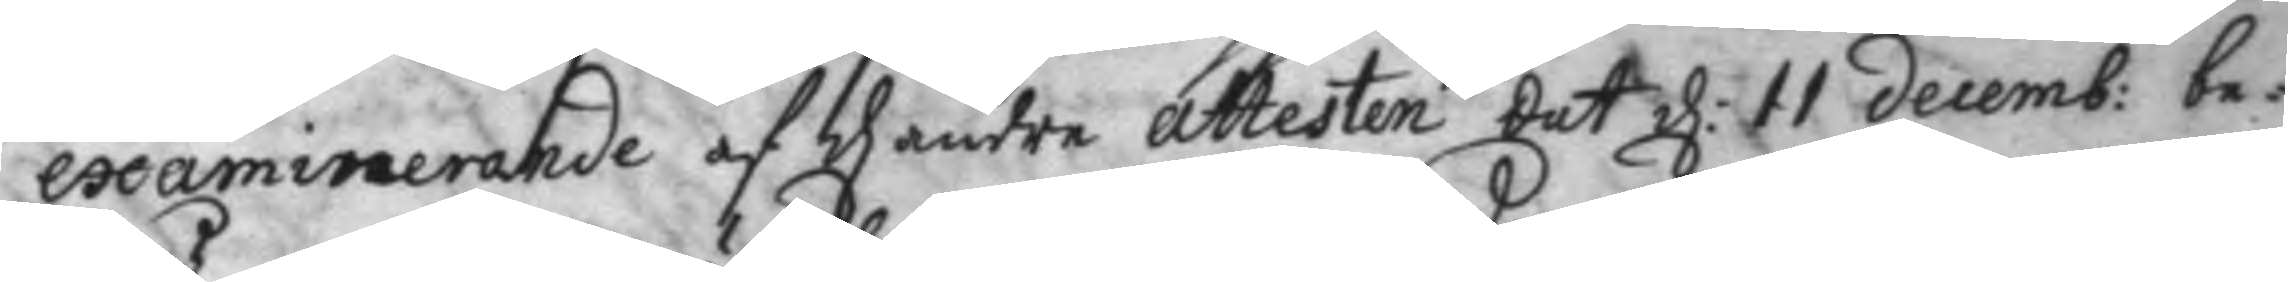examninernade af d andre attesten dat d: 11 decemb: be¬
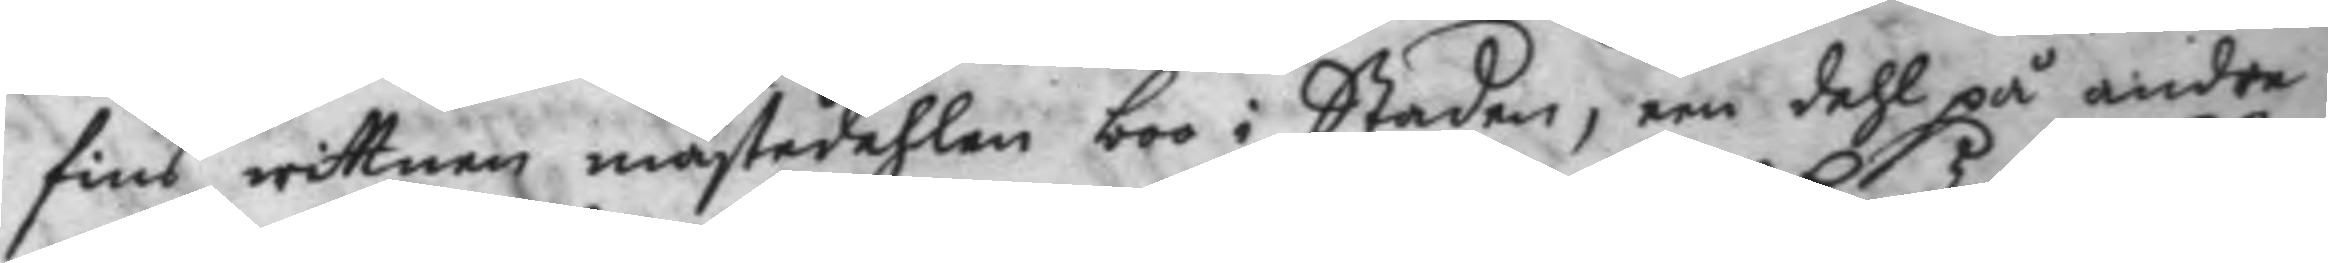fins wittnen mästedehlen boo i Staden, een dehl på andra
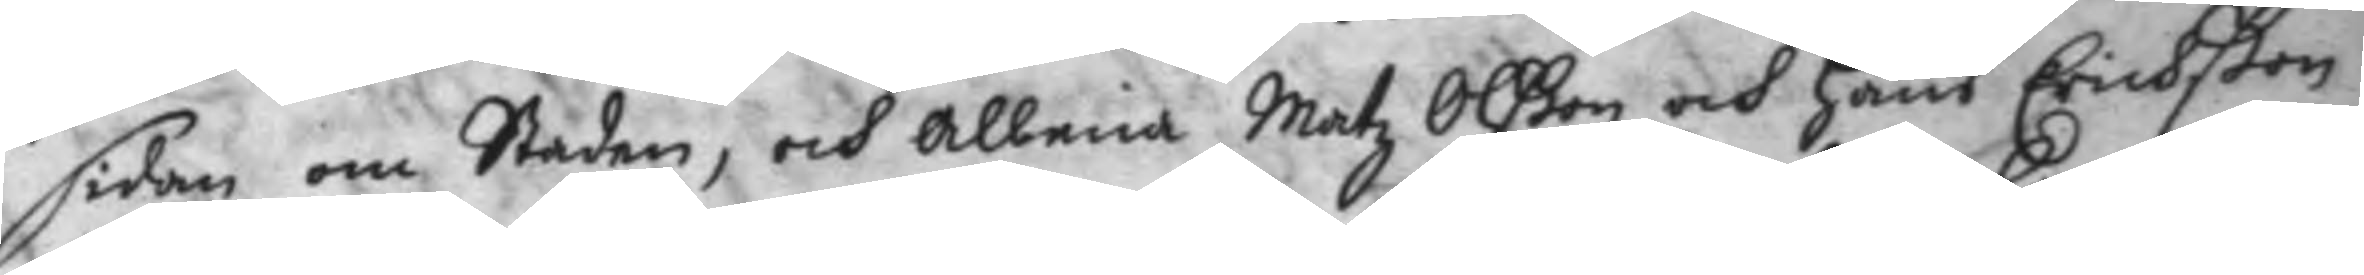sidan om Staden, och Albina matz Olßon och Hans erichßon
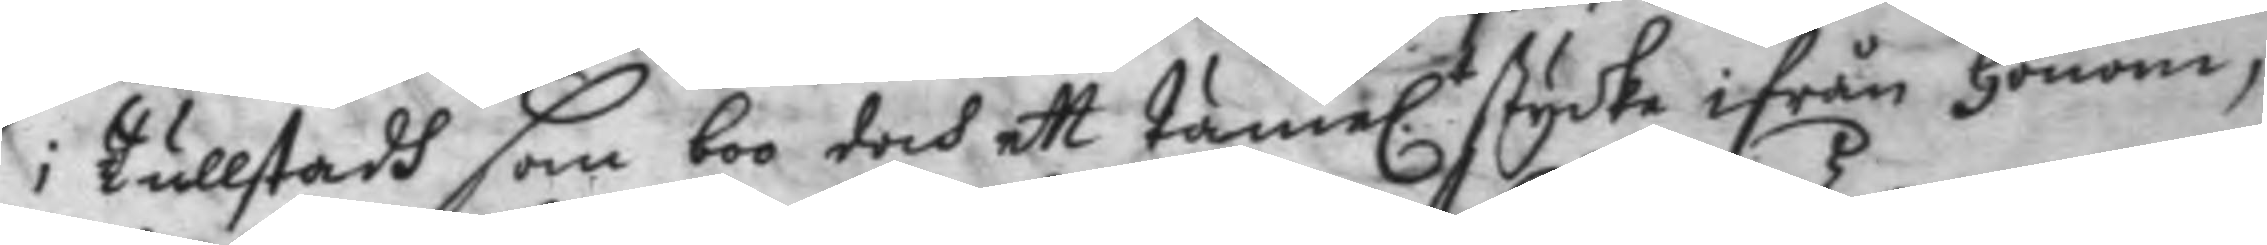i Tullstadh som boo doch ett Tämel.t stycke ifrån Honom,
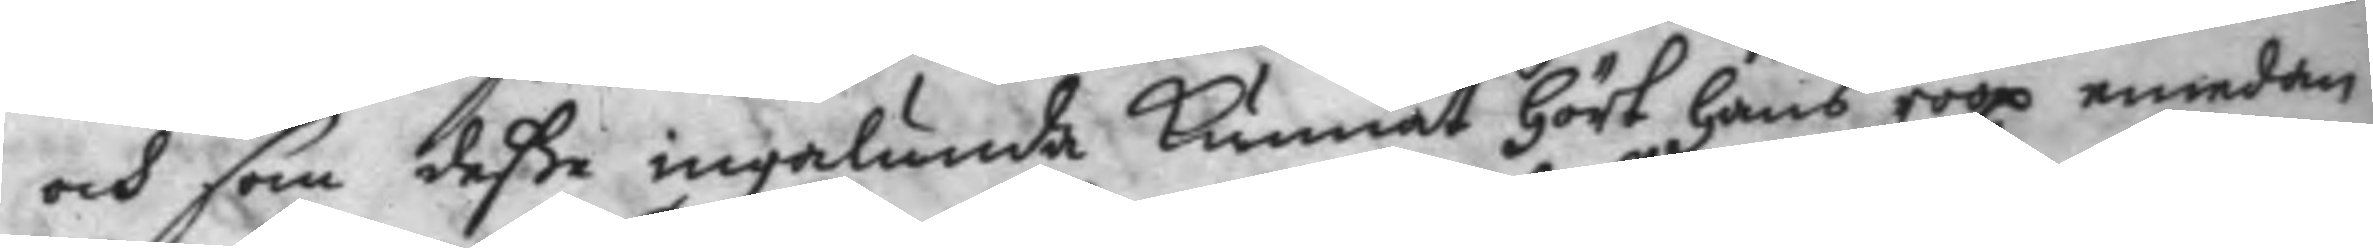och som deße ingalunda Kunnat hört hans roop emedan
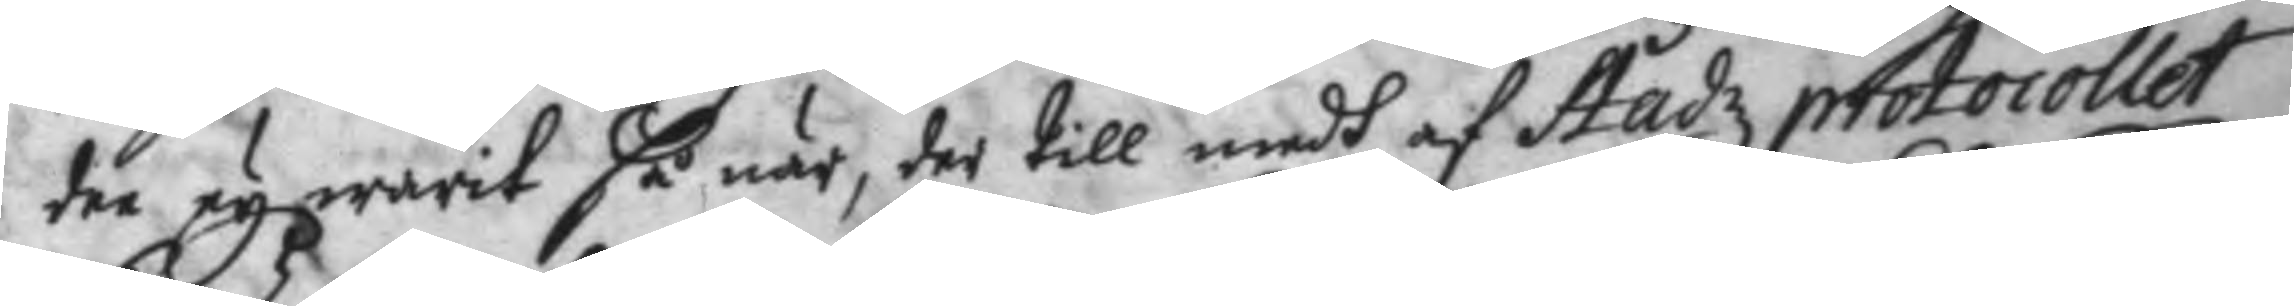dee ey warit så när, der till medh af Stadz protocollet
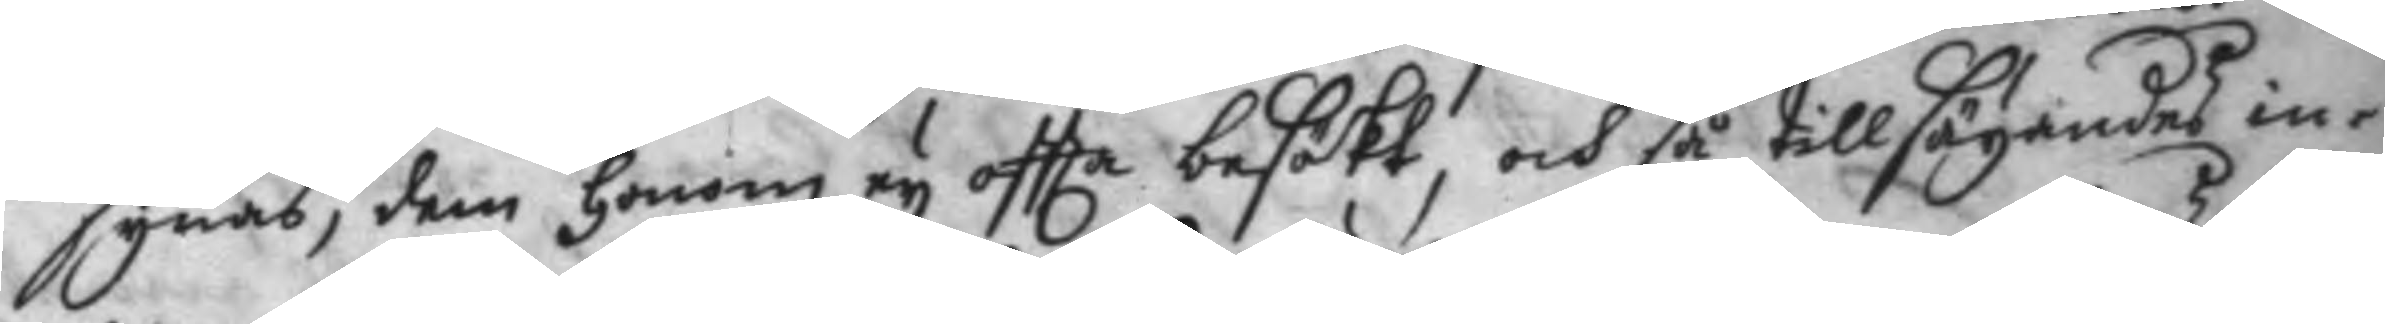synas, dem honom ey oftta besökt, och så tillsägandes in¬
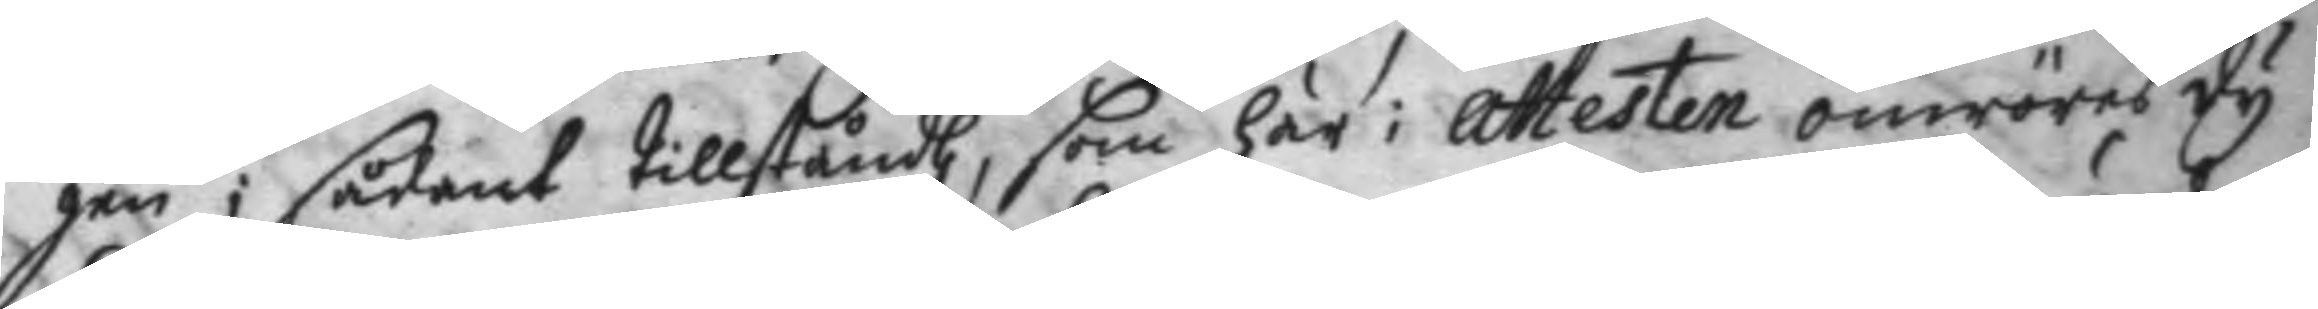gen i sådant tillståndh, som här i attesten omröres dy
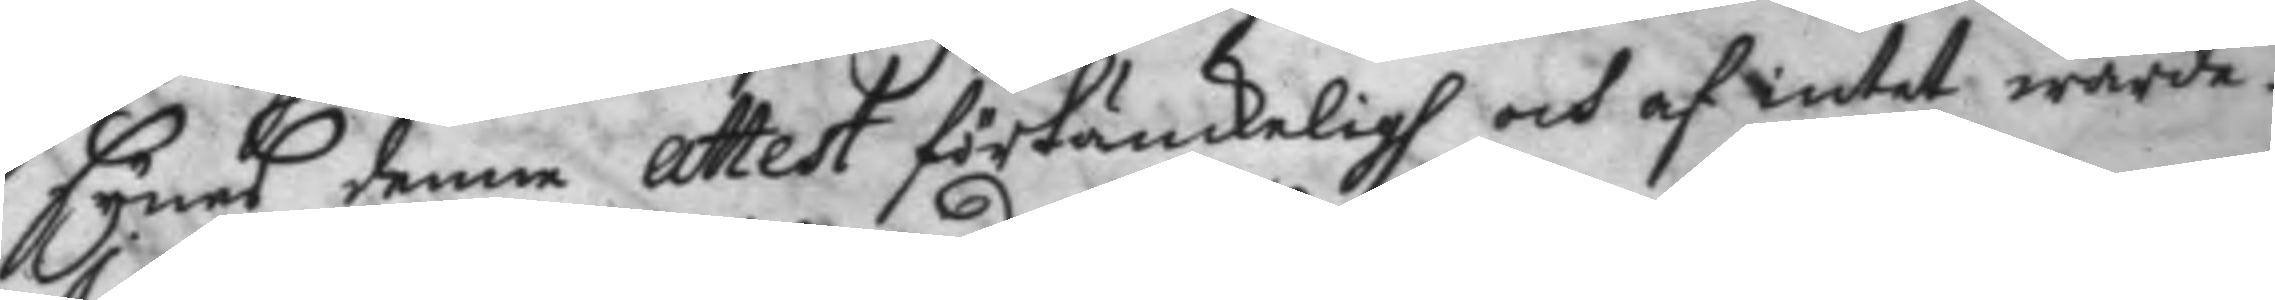synes denne attest förtänckeligh och af intet wärde.
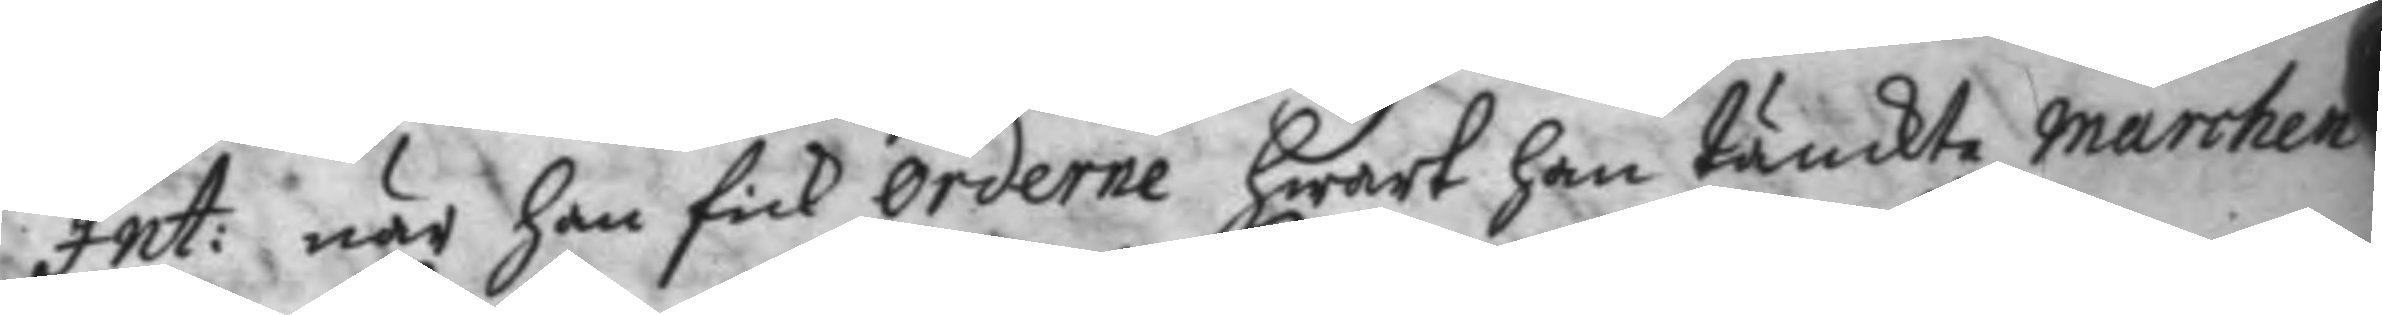Int: när han fick orderne hwart han tänckte marchen
